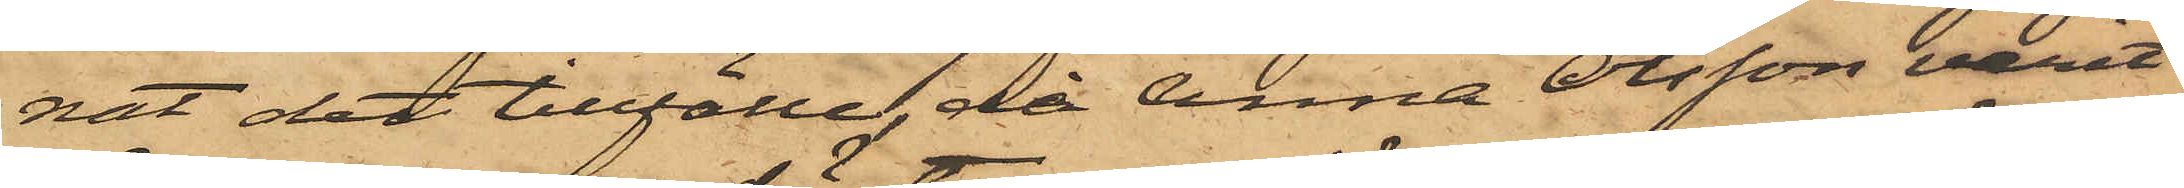nat det tillfälle, då Anna Olsson varit
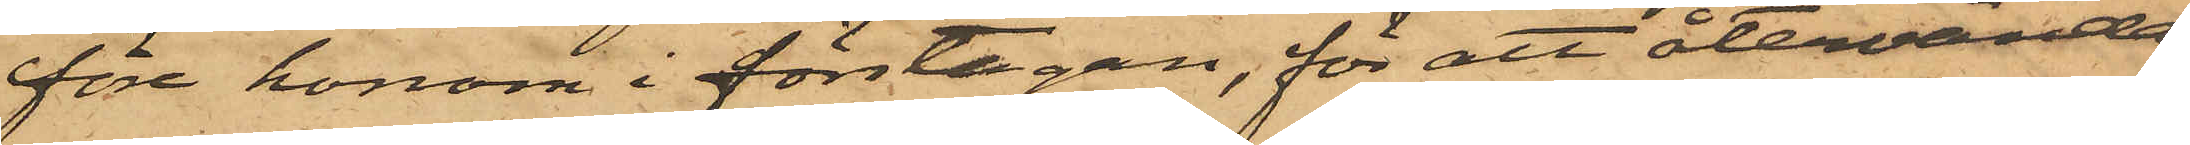före honom i förstugan, för att återvända
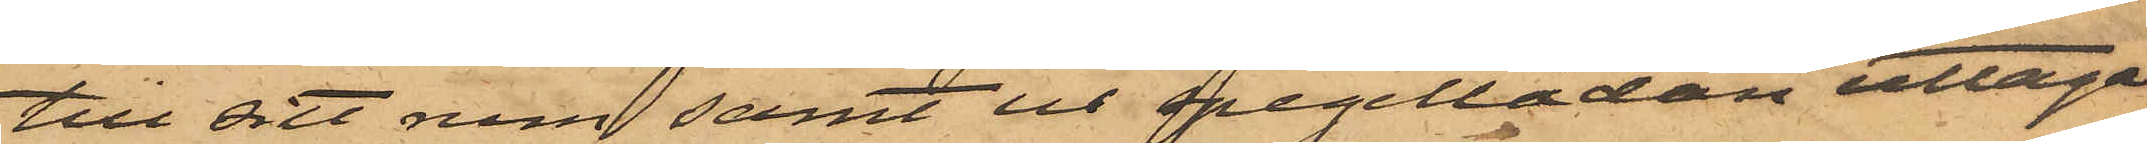till sitt rum samt ur spegellådan uttaga
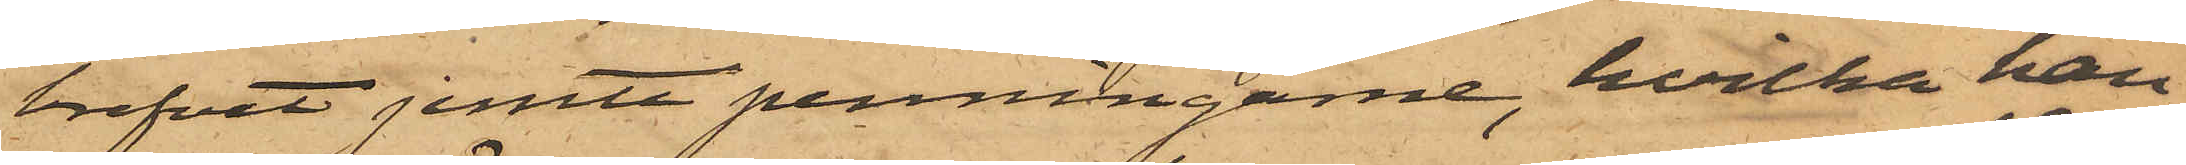brefvet jemte penningarne, hvilka han
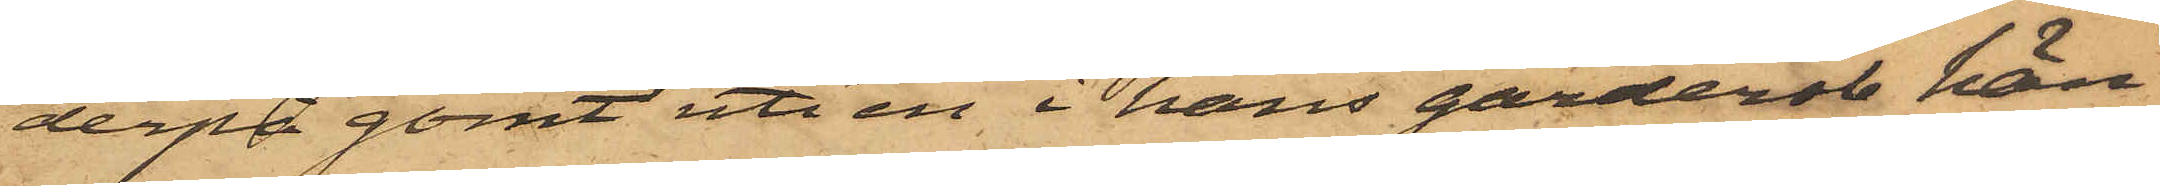derpå gömt uti en i hans garderob hän¬
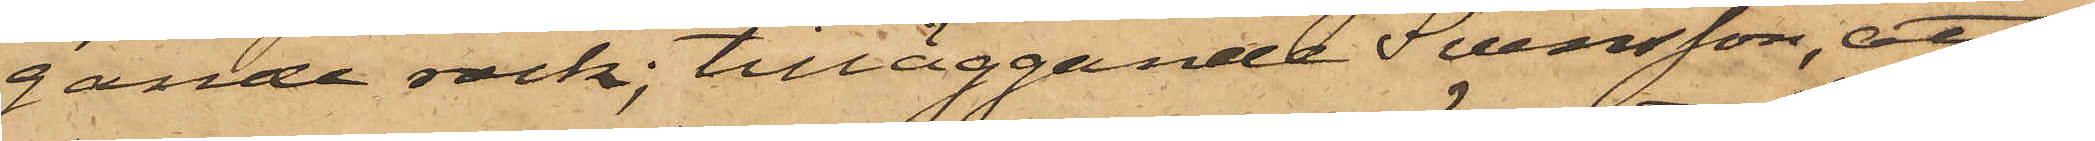gande rock; tilläggande Svensson, att
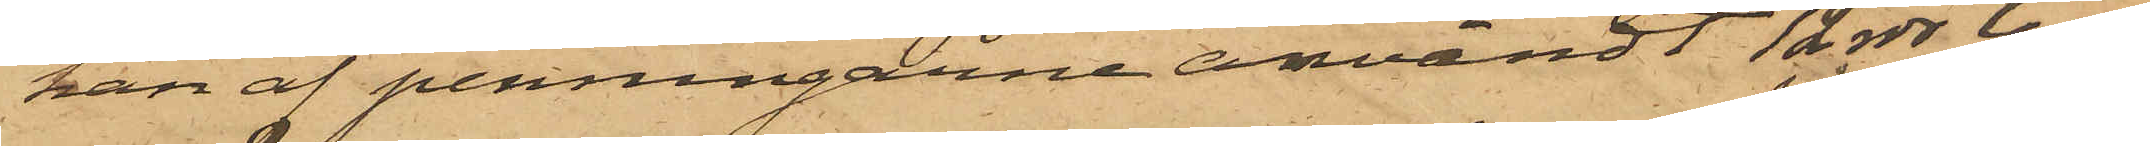han af penningarne användt 12 rdr till
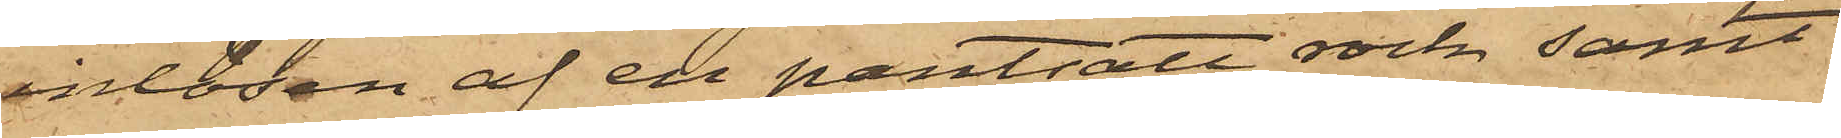inlösen af en pantsatt rock samt
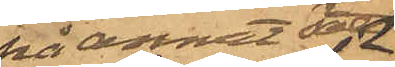på annat sätt
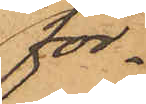för¬
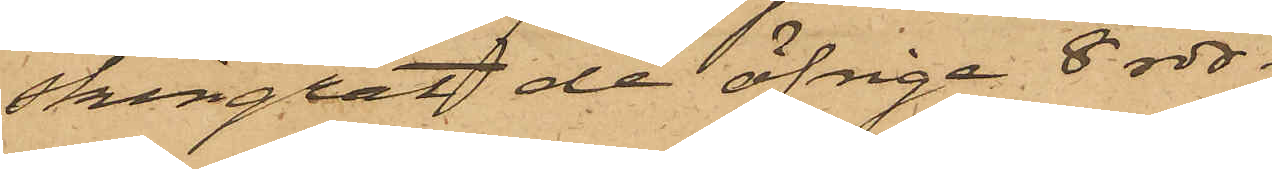skingrat de öfrige 8 rdr.
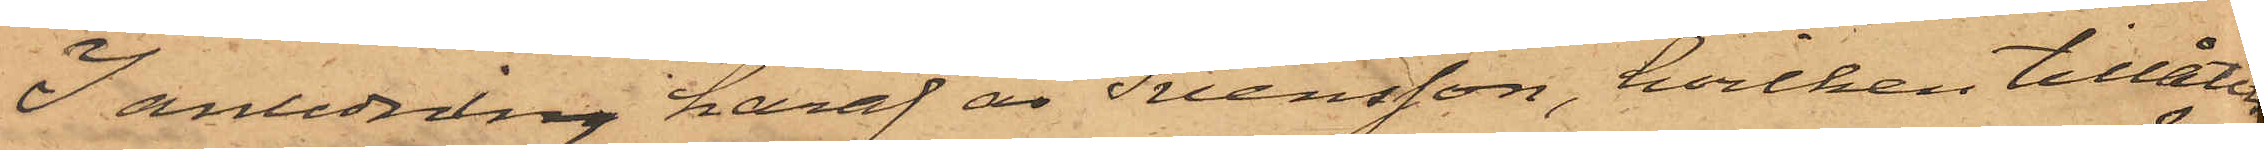I anledning häraf är Svensson, hvilken tillåtits
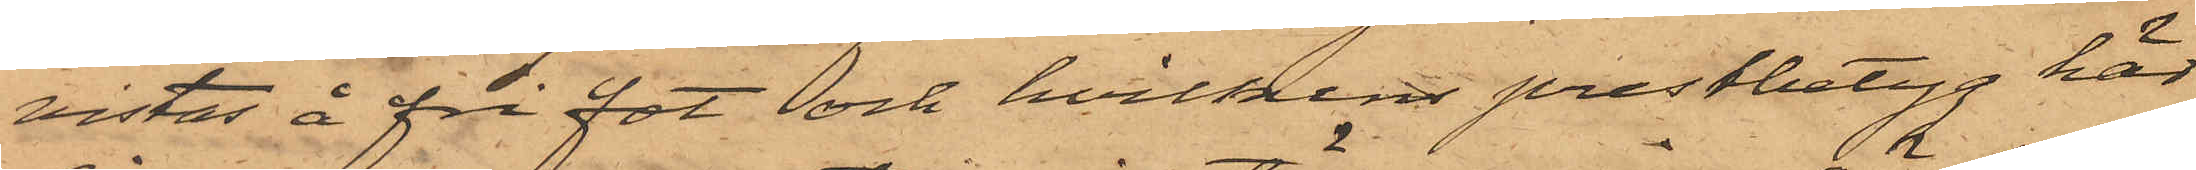vistas å fri fot och hvilkens prestbetyg här
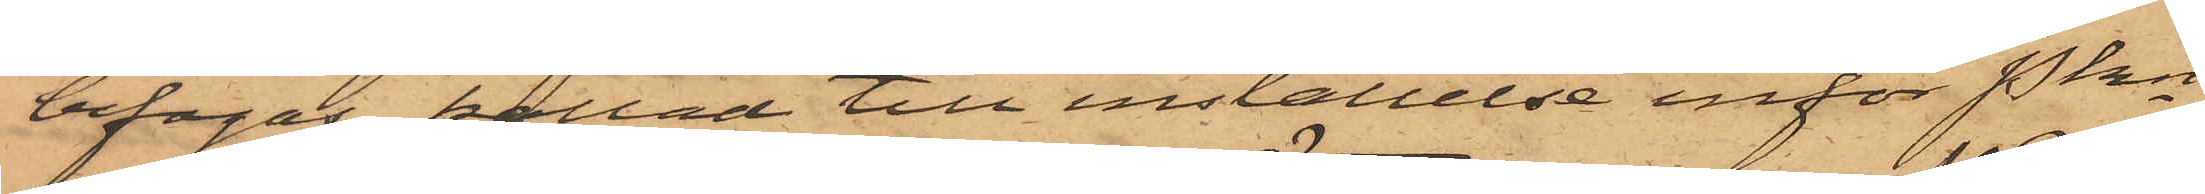bifogas, kallad till inställelse inför Pkn
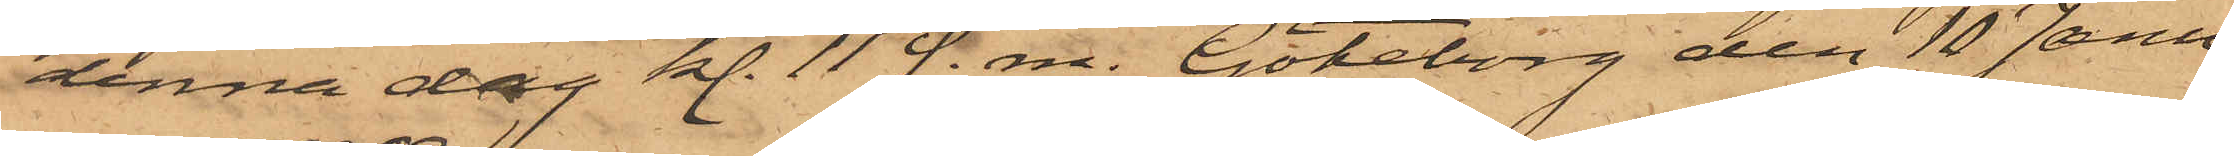denna dag kl. 11 f. m. Göteborg den 10 Janu¬
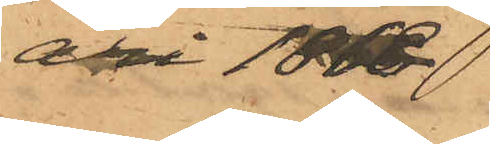ari 1868
